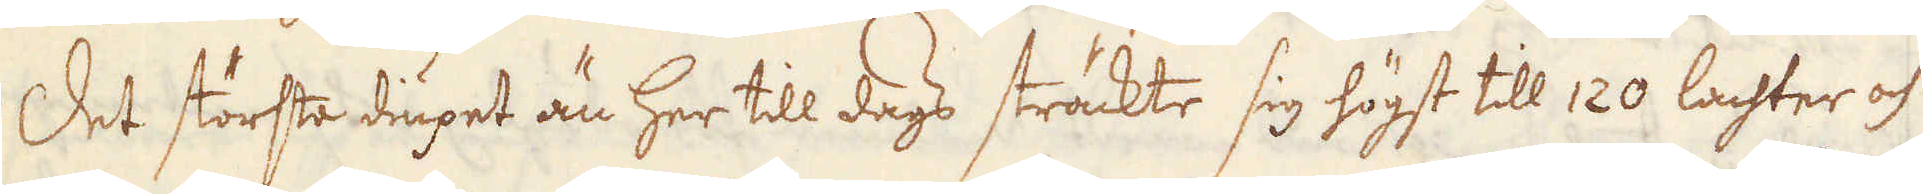Det största diupet än her till dags sträckte sig högst till 120 lachter och
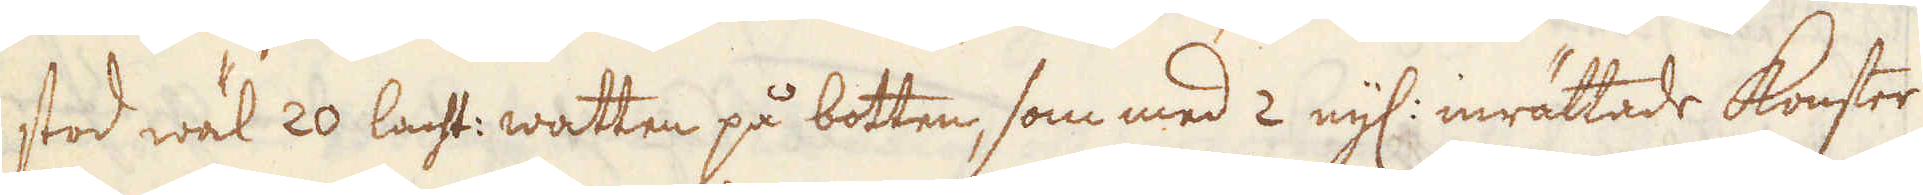stod wäl 20 lacht: watten på botten, som med 2 nyl: inrättade konster
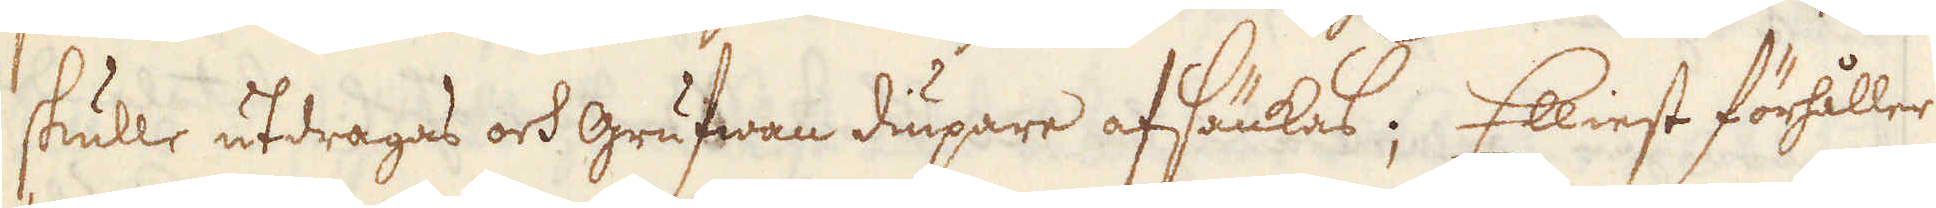skulle utdragas och grufwan diupare afsänkas; Elliest förhåller
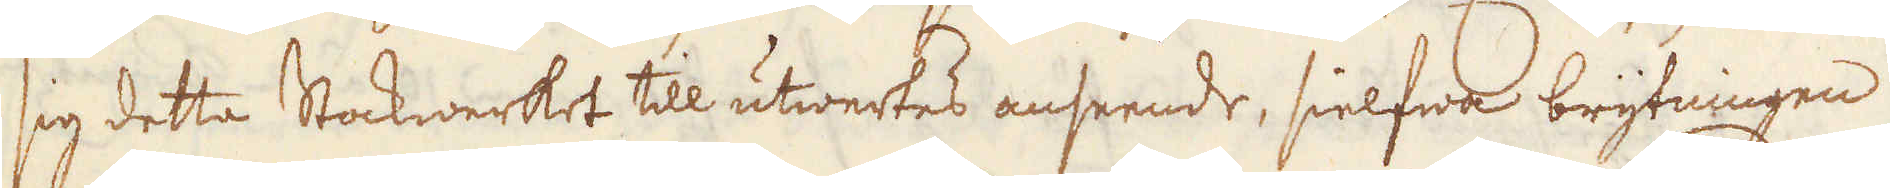sig detta Stockwerket till utwertes anseende, sielfwa brytningen
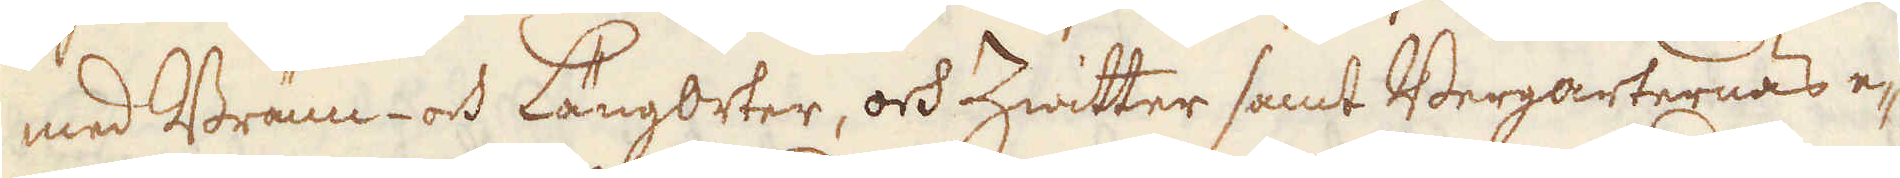med Bränn- och Längorter, och Zwitter samt Bergarternas e-
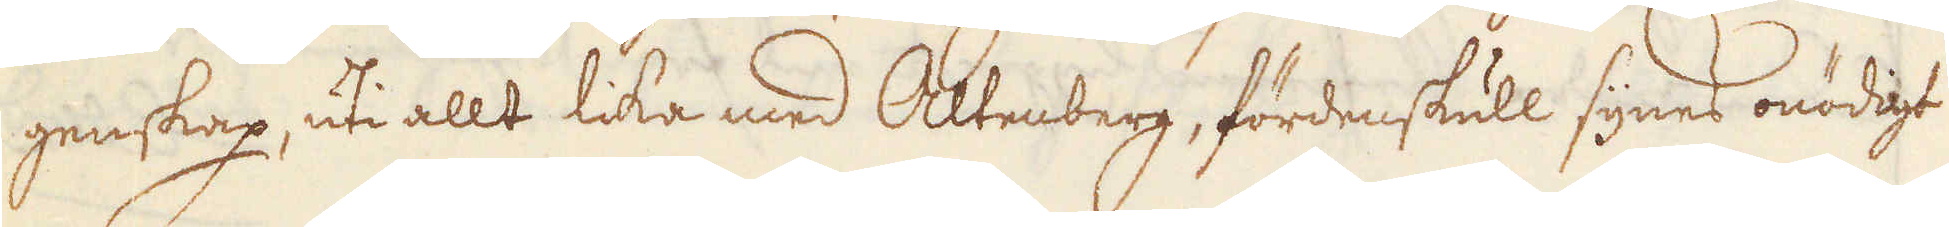genskap, uti allt lika med Altenberg, fördenskull synes onödigt
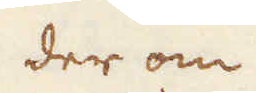der om
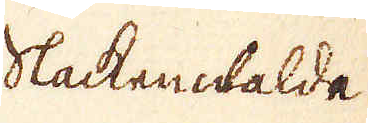Slackenwbalde
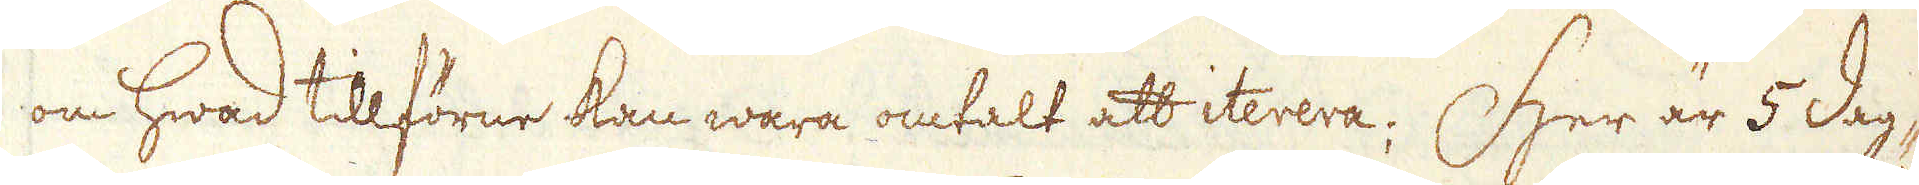om hwad tillförne kan wara omtalt att iterera; Her är 5 dag-
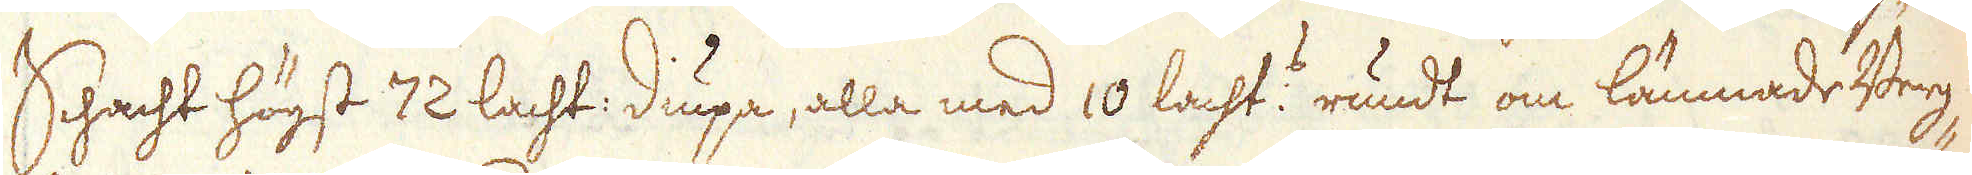Schacht högst 72 lacht: diupa, alla med 10 lacht:e rundt om lämnade Berg-
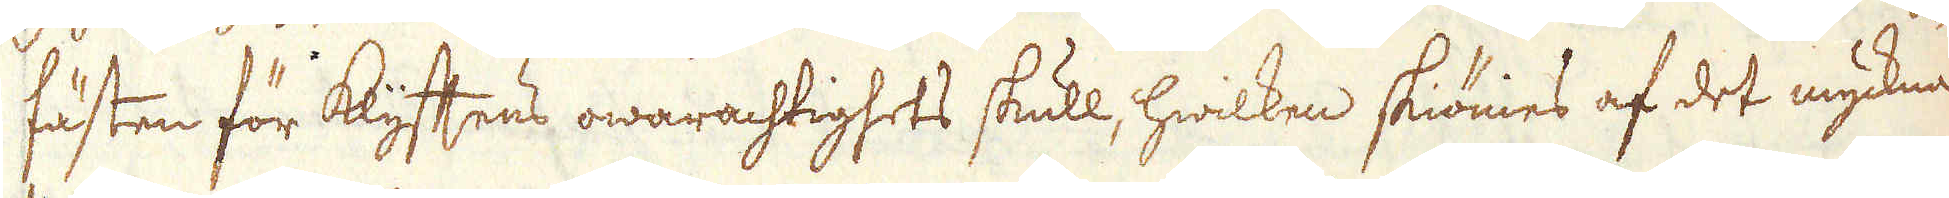fästen för klyftens owarachtighets skull, hwilken skiönies af det myckna
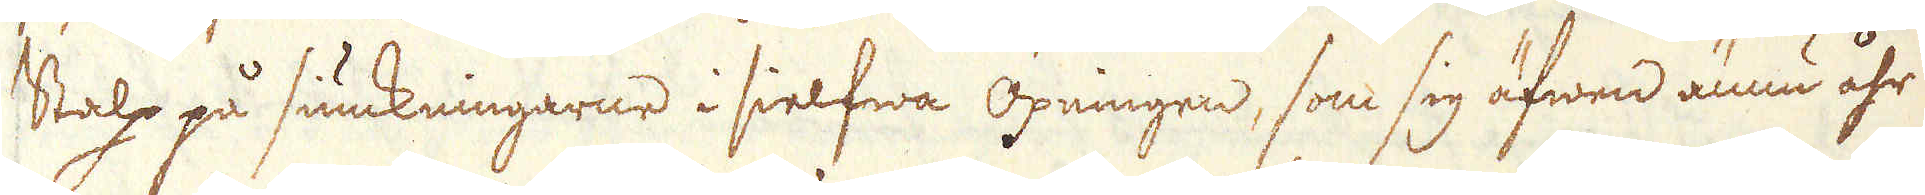Stalp på siunkningarne i sielfwa Öpningen, som sig äfwen ännu åhr
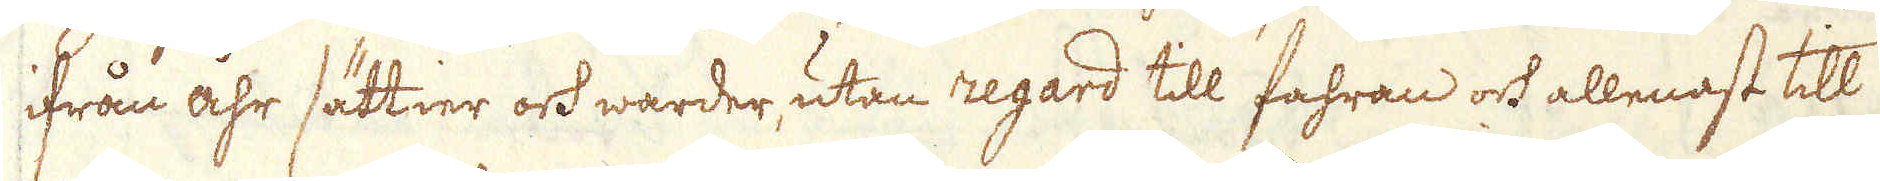ifrån åhr sättier och warder, utan regard till fahran och allenast till
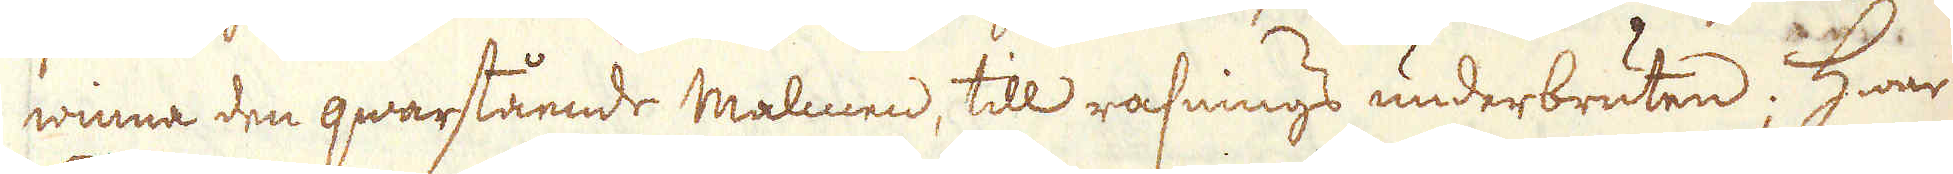winna den qwarstående malmen, till rasnings underbruten; hwar
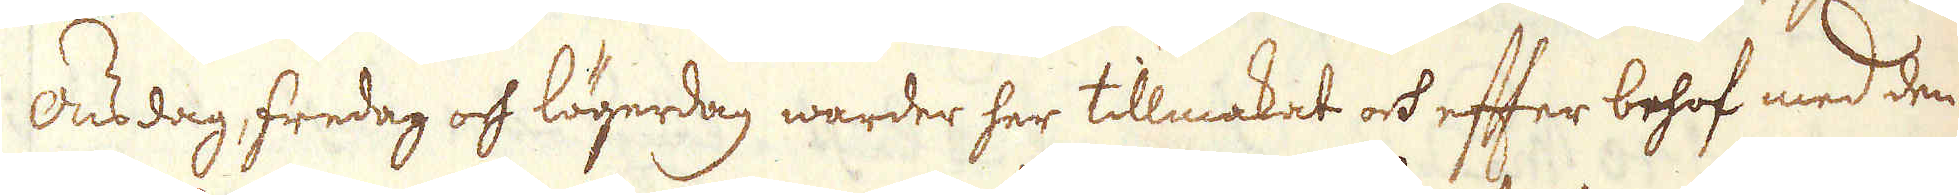Onsdag, fredag och lögerdag warder her tillmakat och efter behof med den
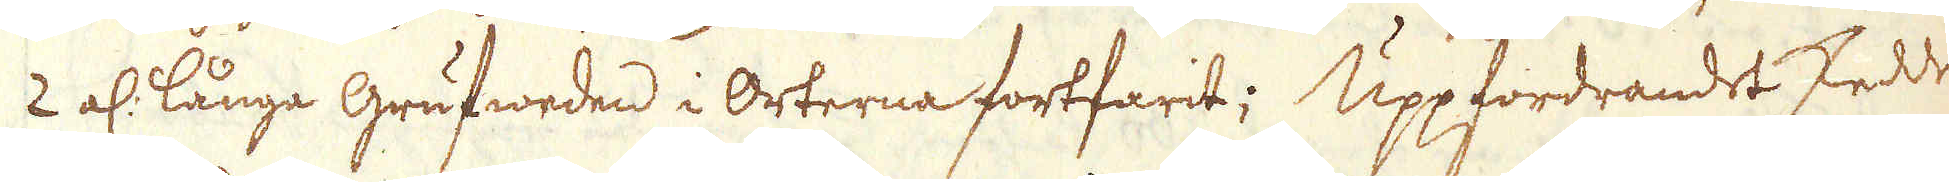2 al: långe Grufweden i Orterna fortfarit; Uppfordrandet skedde
